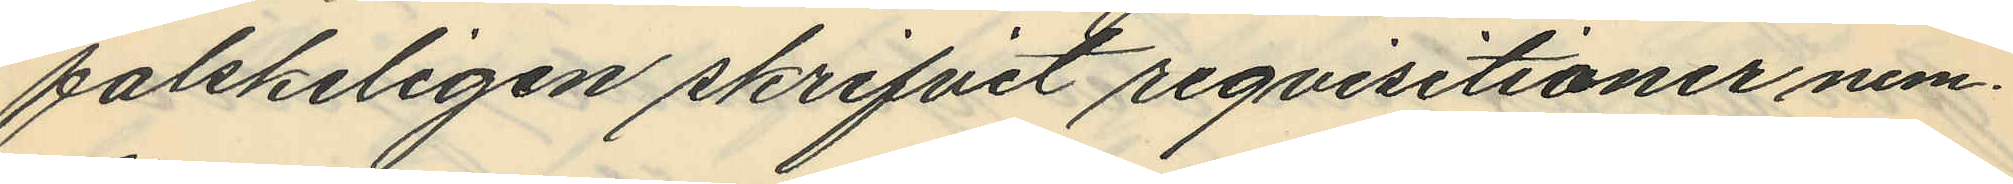falskeligen skrifvit reqvisitioner nem¬
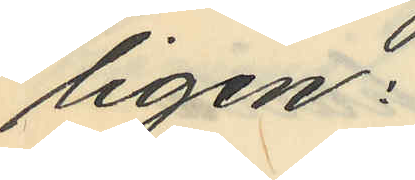ligen:
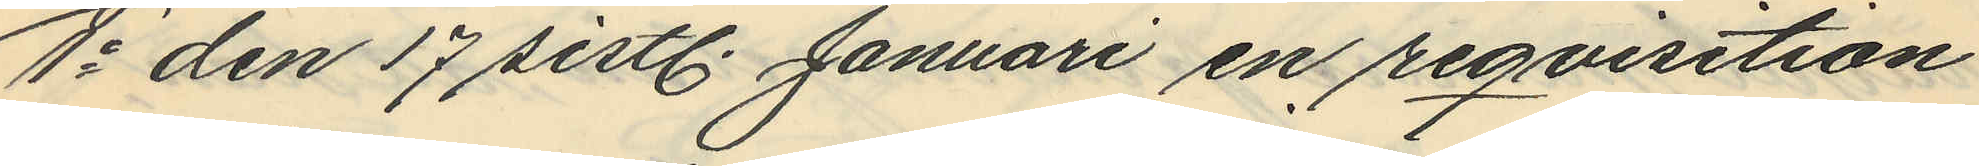1o den 17 sistl. Januari en reqvisition
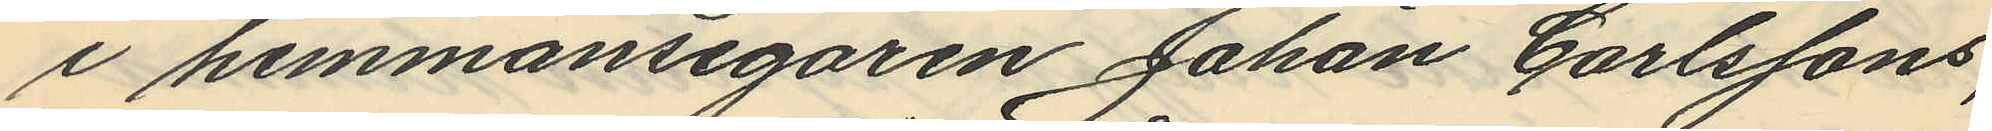i hemmansegaren Johan Carlssons
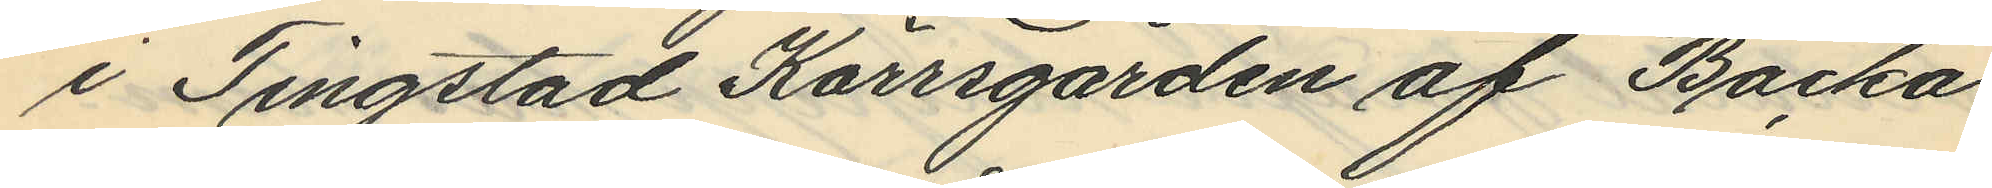i Tingstad Kärrsgården af Backa
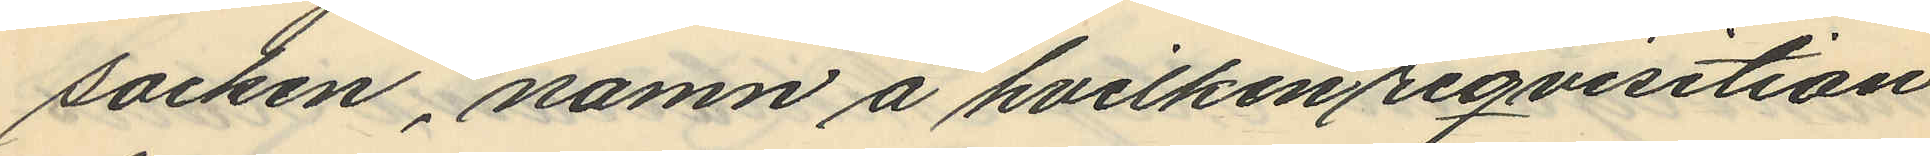socken, namn å hvilken reqvisition
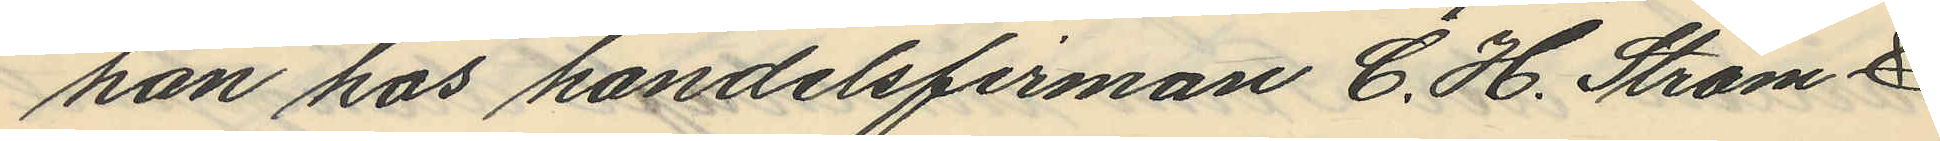han hos handelsfirman C. H. Ström &
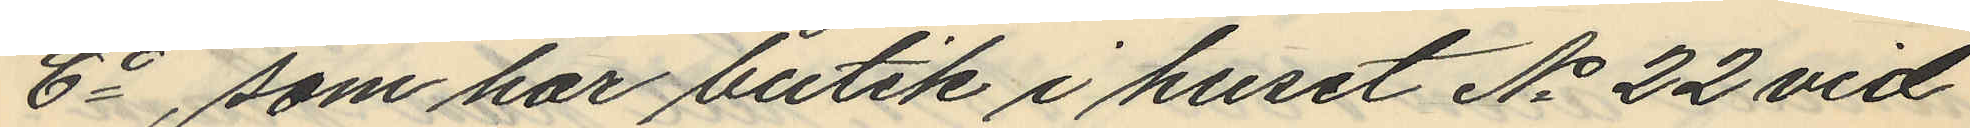Co, som har butik i huset No 22 vid
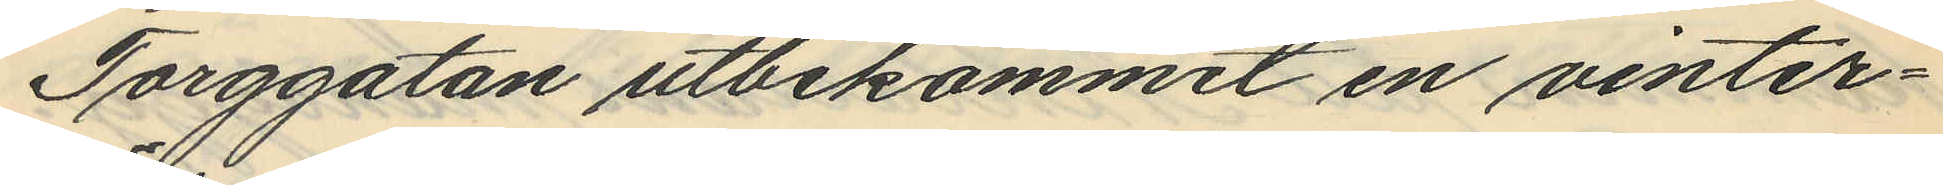Torggatan utbekommit en vinter¬
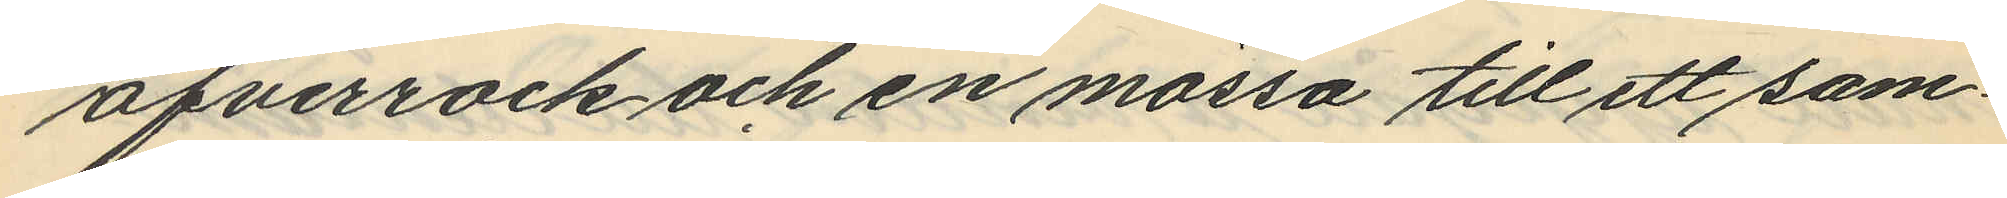öfverrock och en mössa till ett sam¬
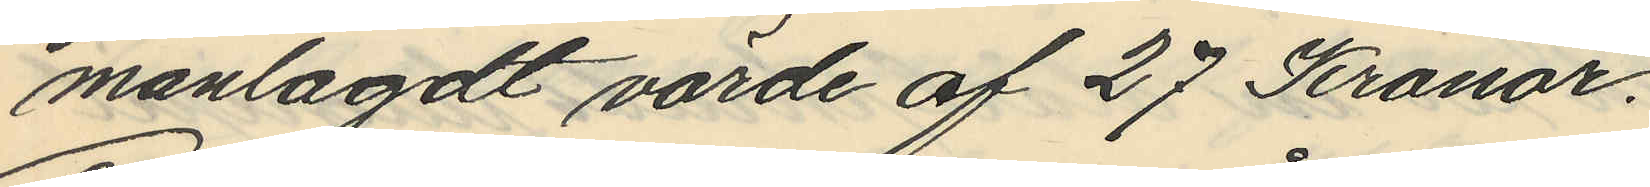manlagdt värde af 27 Kronor.
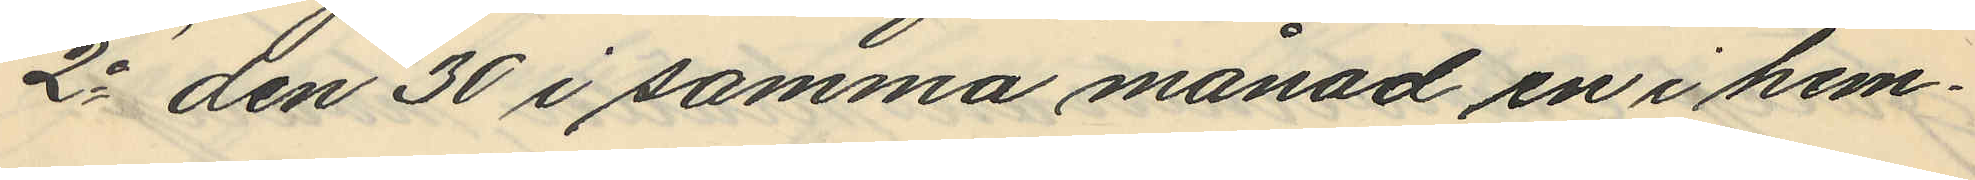2o den 30 i samma månad en i hem¬
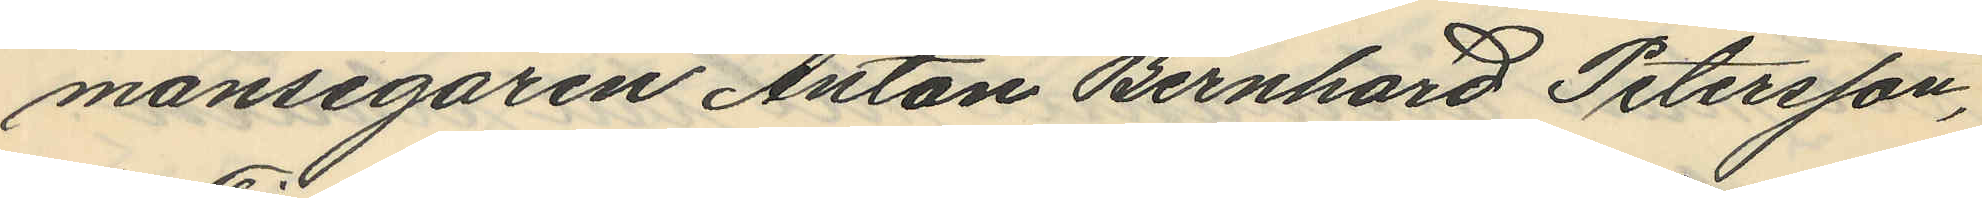mansegaren Anton Bernhard Petersson,
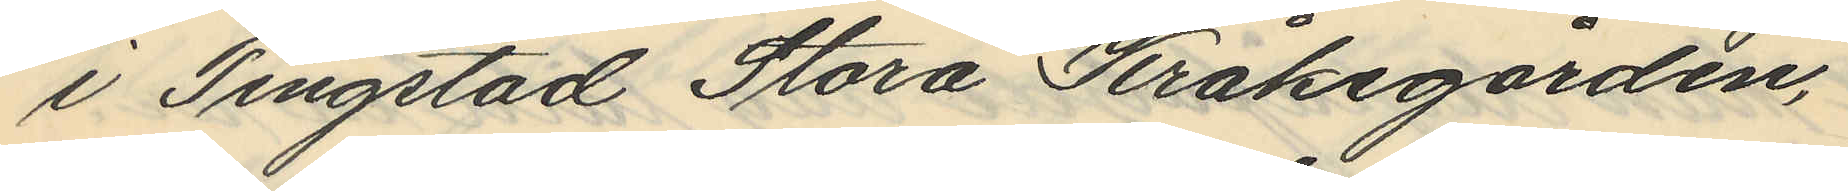i Tingstad Stora Kråkegården,
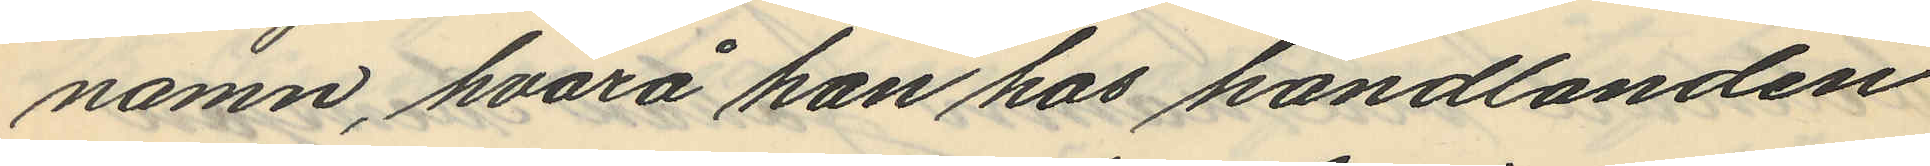namn, hvarå han hos handlanden
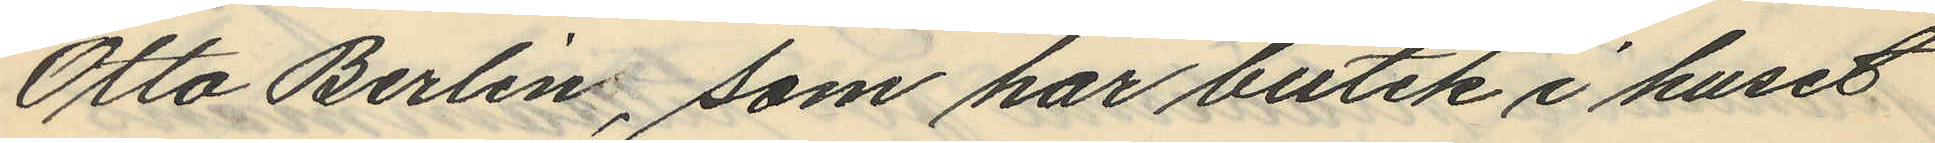Otto Berlin, som har butik i huset
